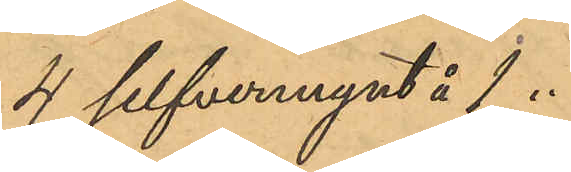4 silfvermynt å 1 .
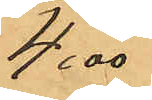4,00
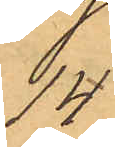14
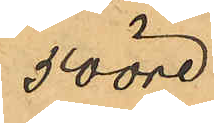50 öre
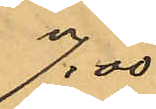7,00
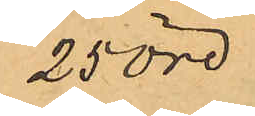25 öre
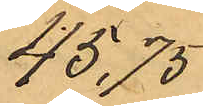45,75
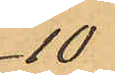10
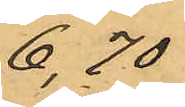6,70
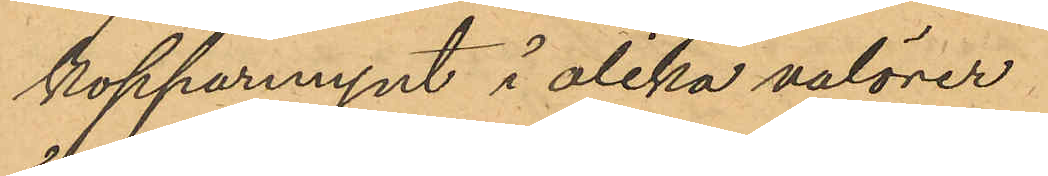kopparmynt i olika valörer
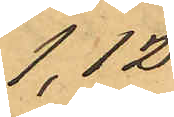1,12
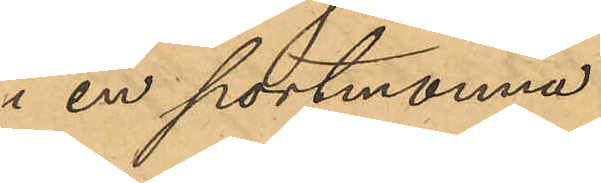i en portmonnä
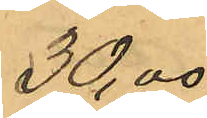30,00
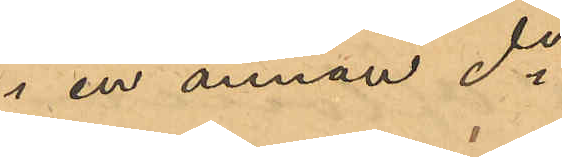i en annan do
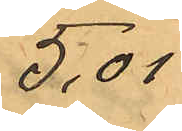5,01
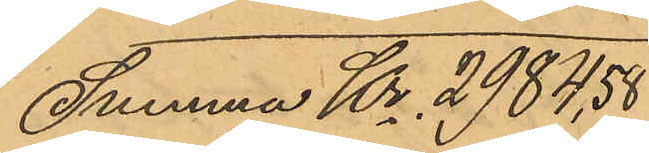Summa Kr 3984,58
